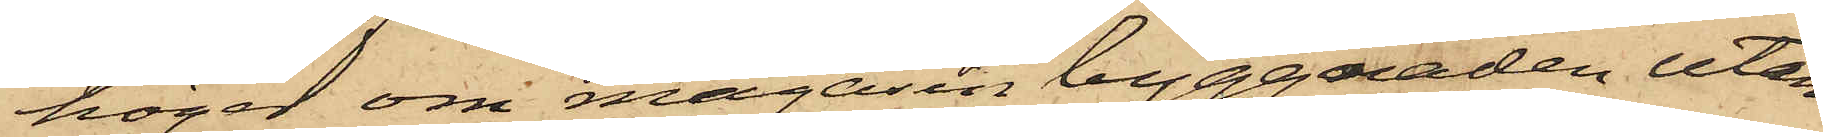höger om magasin byggnaden utan
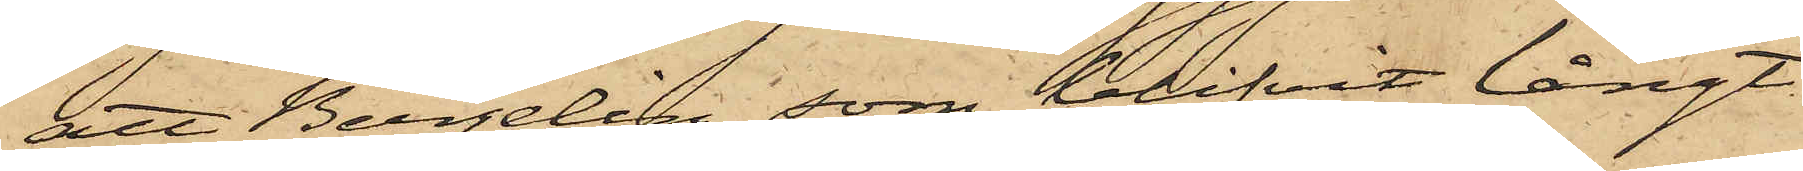att Bergelin, som blifvit långt
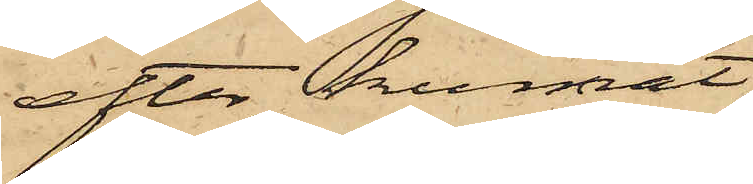efter, kunnat
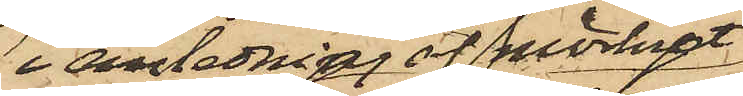i anledning af mörket
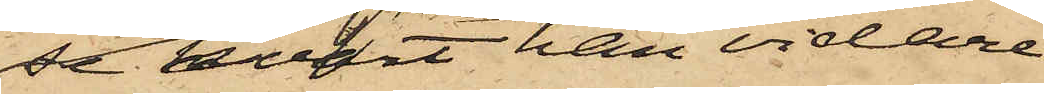se hvart han vidare
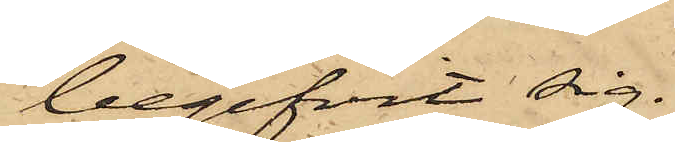begifvit sig.
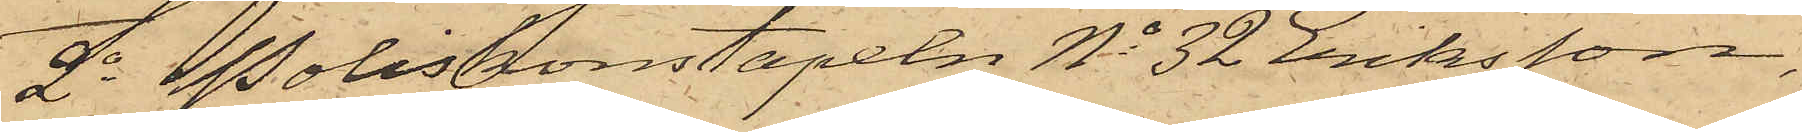2o Poliskonstapeln No 32 Eriksson,
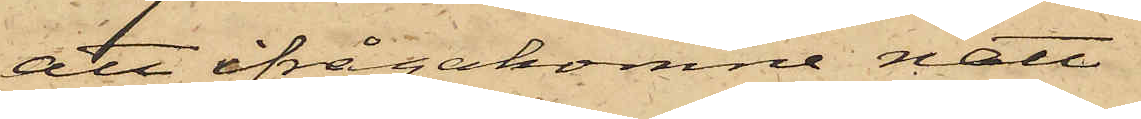att ifrågakomne natt
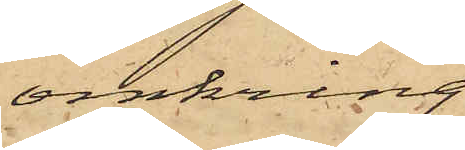omkring
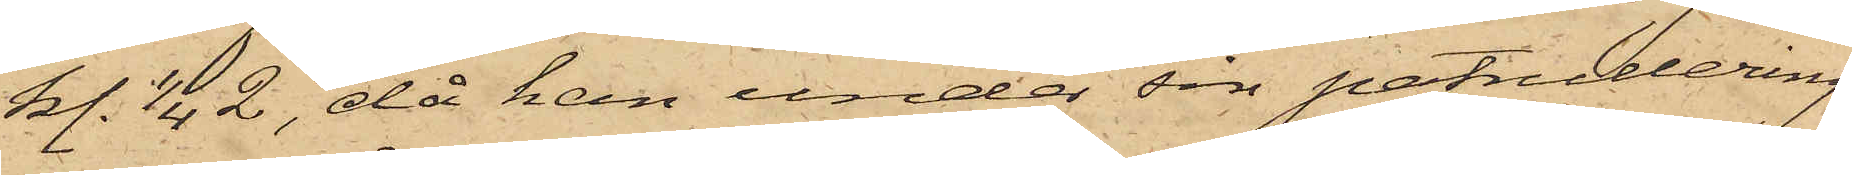kl. 1/4 2, då han under sin patrullering
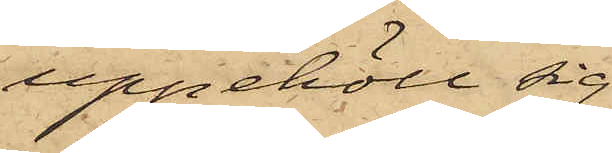uppehöll sig
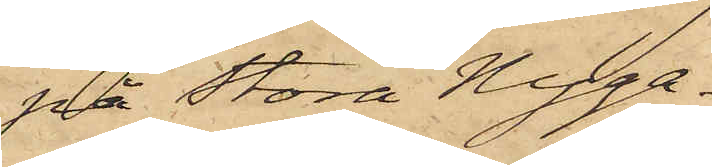på Stora Nyga¬
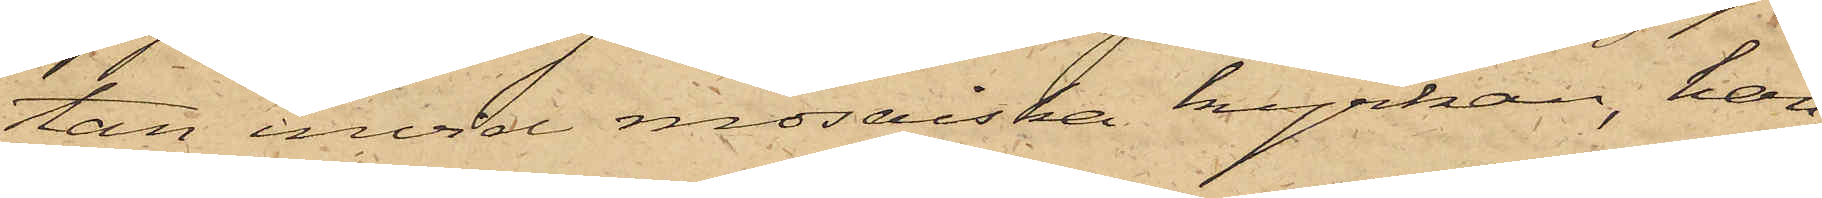tan invid mosaiska kyrkan, han
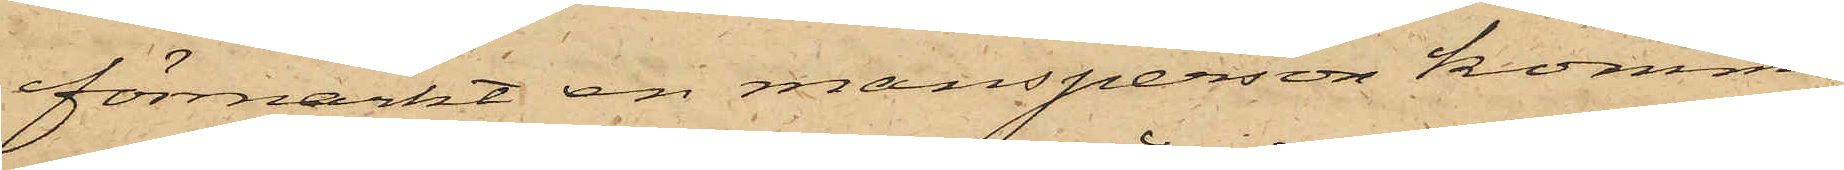förmärkt en mansperson komma
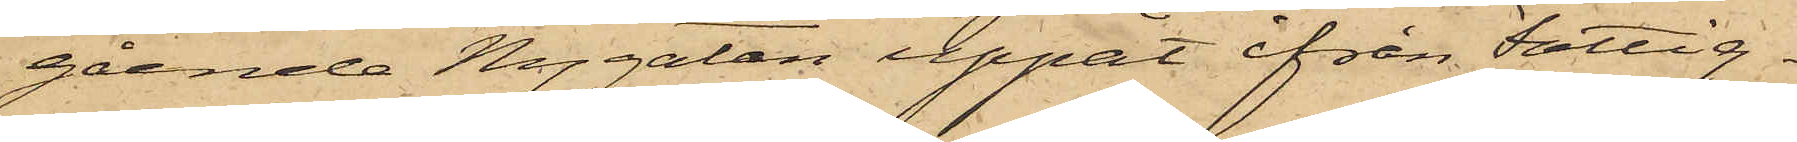gående Nygatan uppåt ifrån Fattig¬
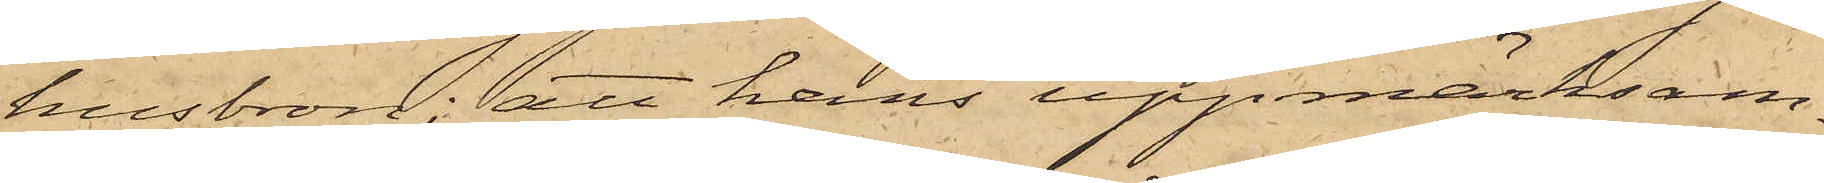husbron; att hans uppmärksam¬
